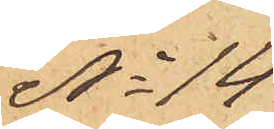No 14
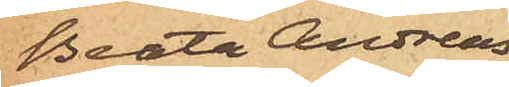Beata Andreas¬
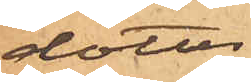dotter
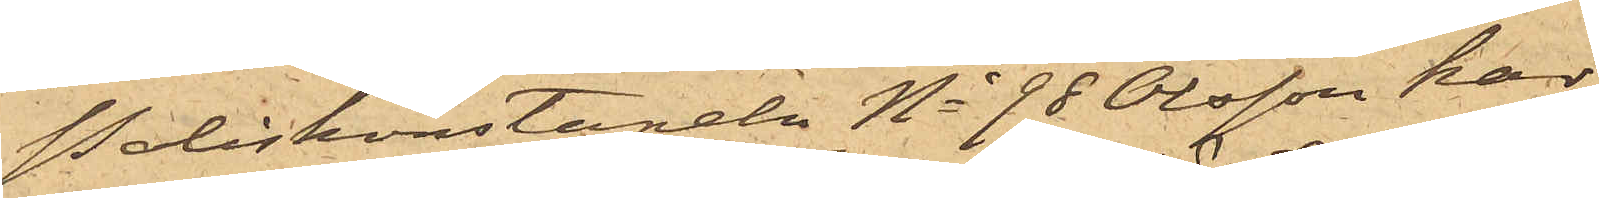Poliskonstapeln No 98 Olsson har
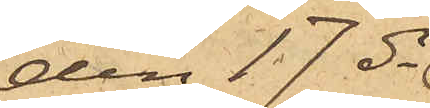den 17 ds
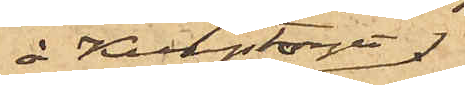å Kungstorget
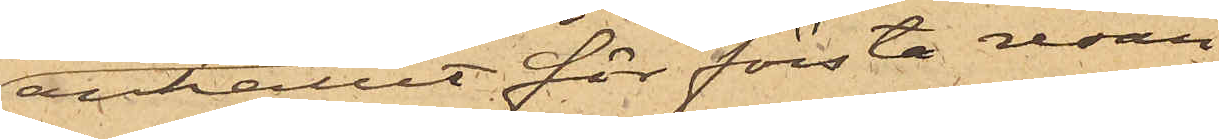anhållit för första resan
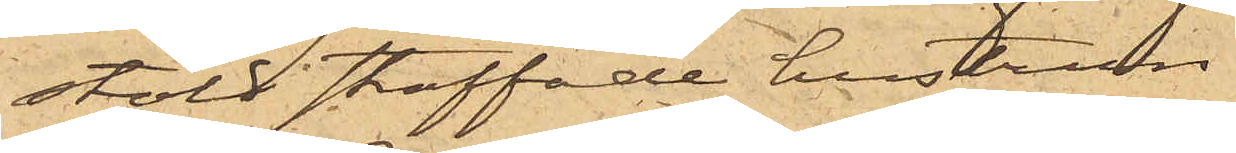stöld straffade hustrun
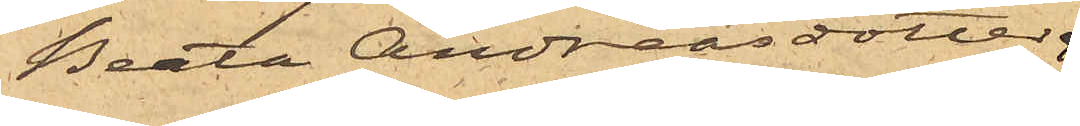Beata Andreasdotter
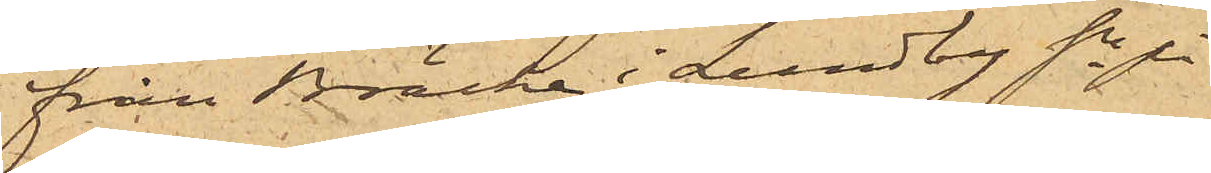från Bräcke i Lundby sn på
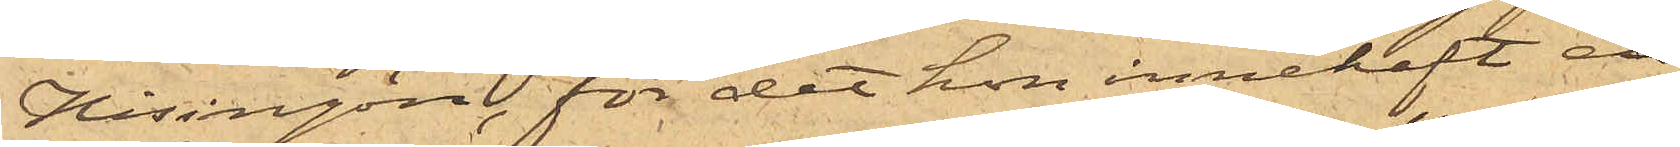Hisingön, för det hon innehaft en
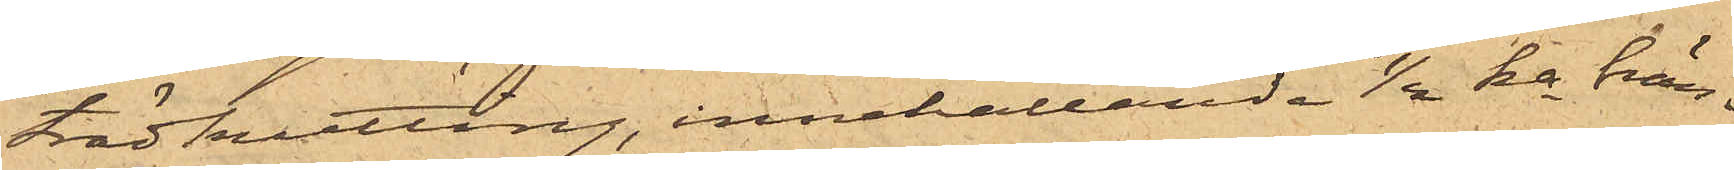trädkutting, innehållande 1/2 ka brän¬
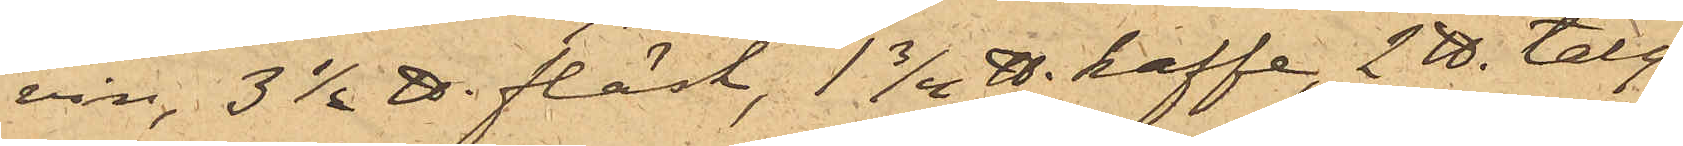vin, 3 1/2 ℔. fläsk, 1 3/4 ℔. kaffe, 2 ℔. talg¬
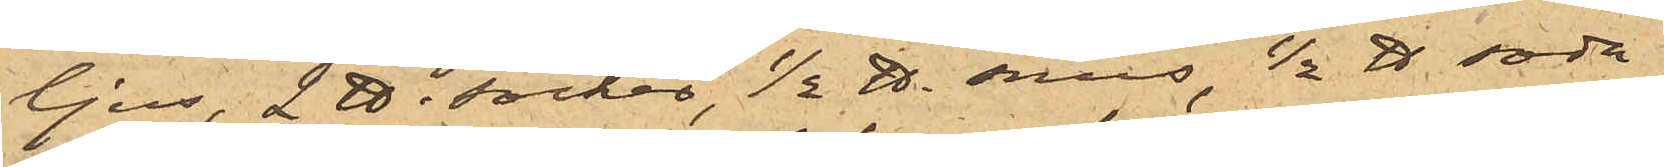ljus, 2 ℔. socker, 1/2 ℔. snus, 1/2 ℔ soda,
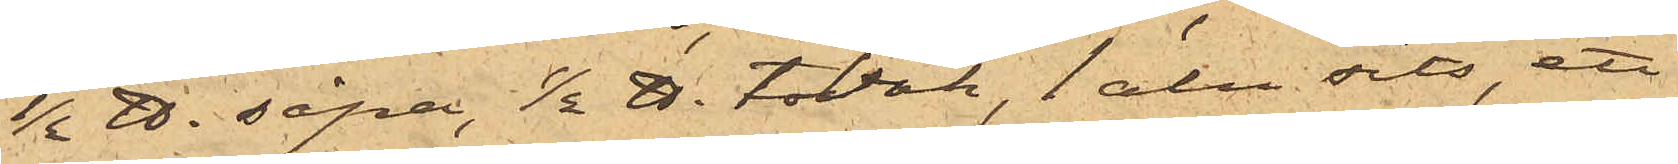1/2 ℔. såpa, 1/2 ℔. tobak, 1 aln sits, ett
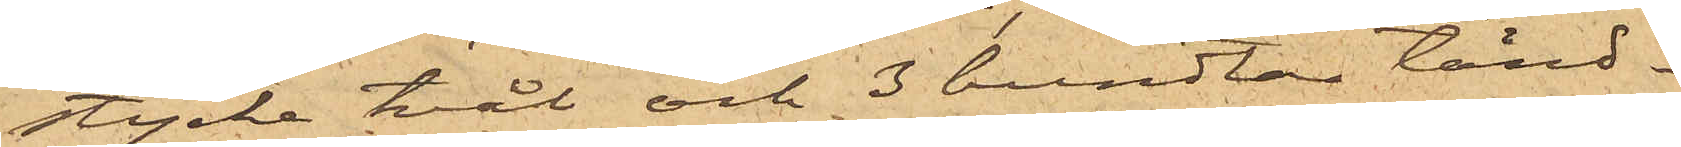stycke tvål och 3 bundtar tänd¬
